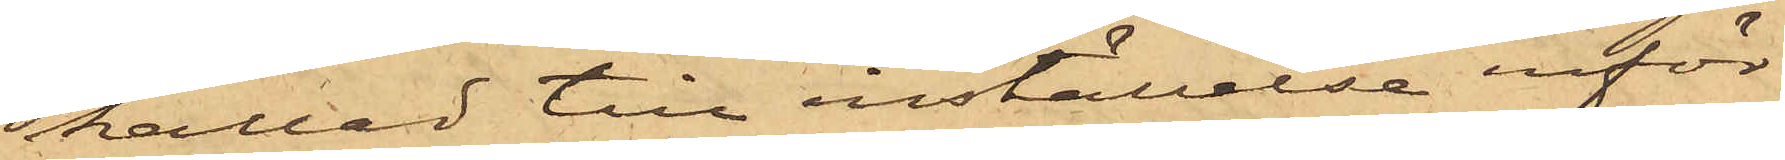kallad till inställelse inför
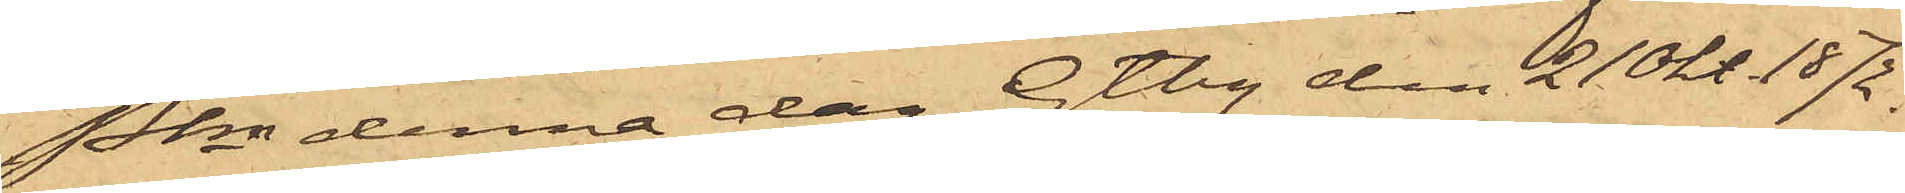Pkn denna dag. Gtbg den 21 Okt. 1872.
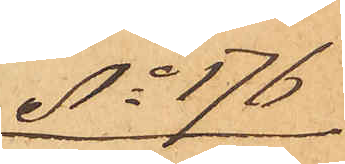No 176
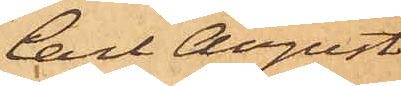Carl August
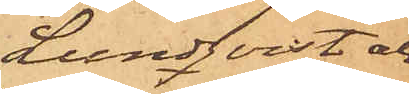Lundqvist och
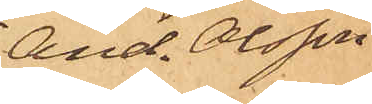And. Olsson
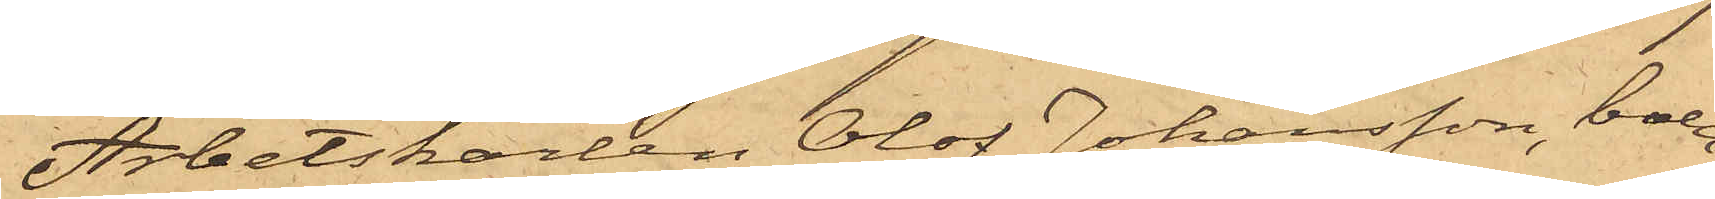Arbetskarlen Olof Johansson, boen¬
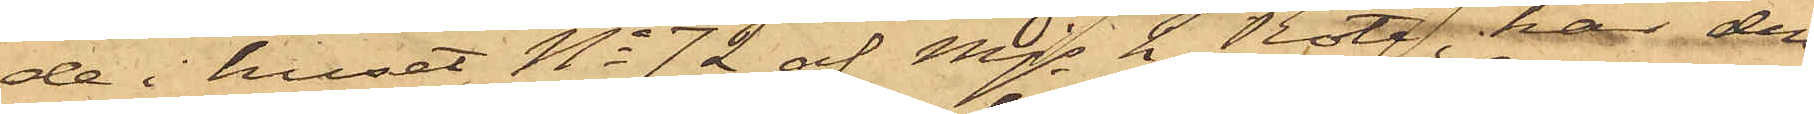de i huset No 72 af Mjs 2 Rote, har den
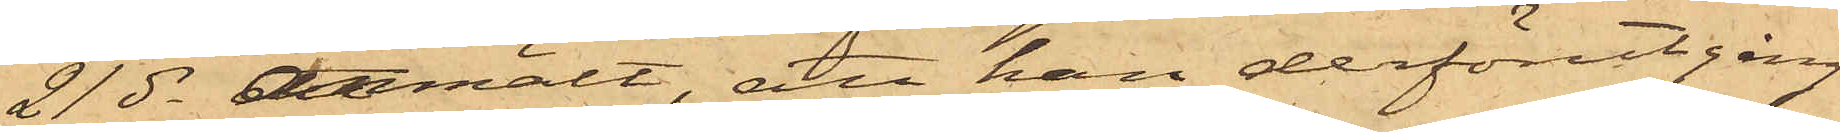21 ds anmält, att han derförutgång¬
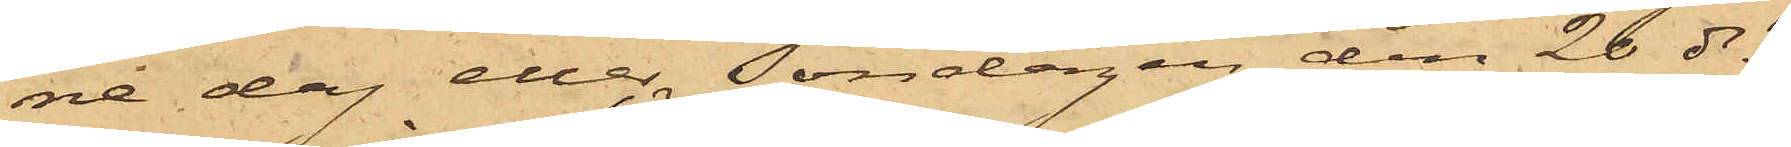ne dag eller Söndagen den 26 ds 
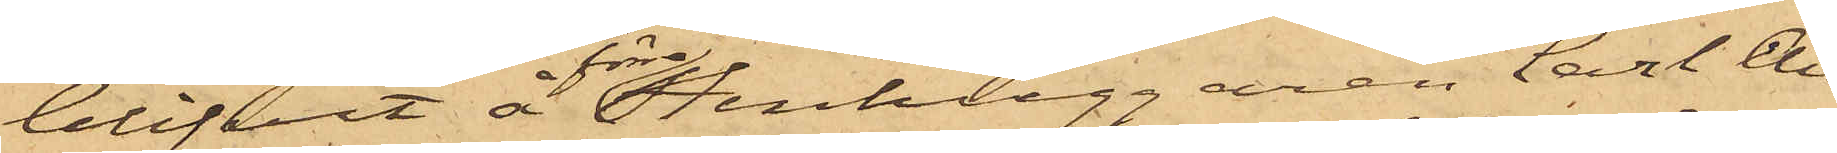blifvit å förre Stenhuggaren Carl An¬
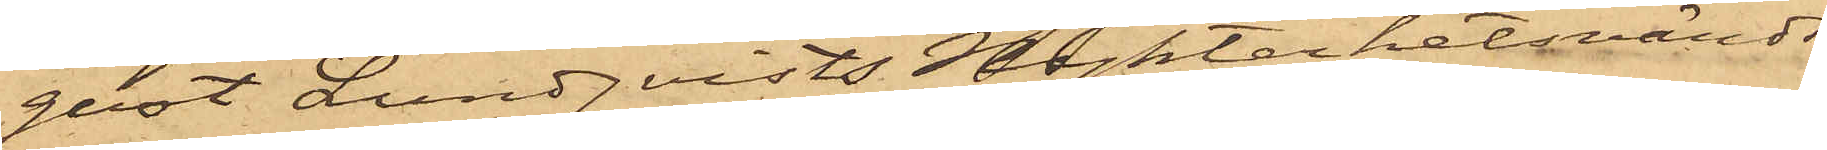gust Lundqvists Nykterhetsvärds¬
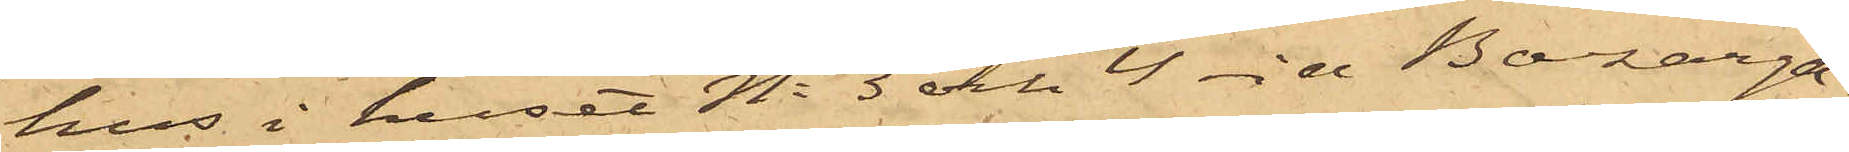hus i huset No 3 och 4 vid Bazarga¬
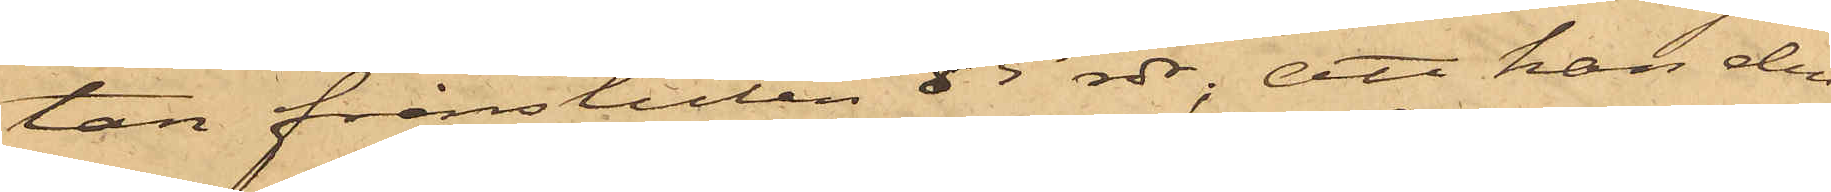tan frånstulen 85 rdr; att han den
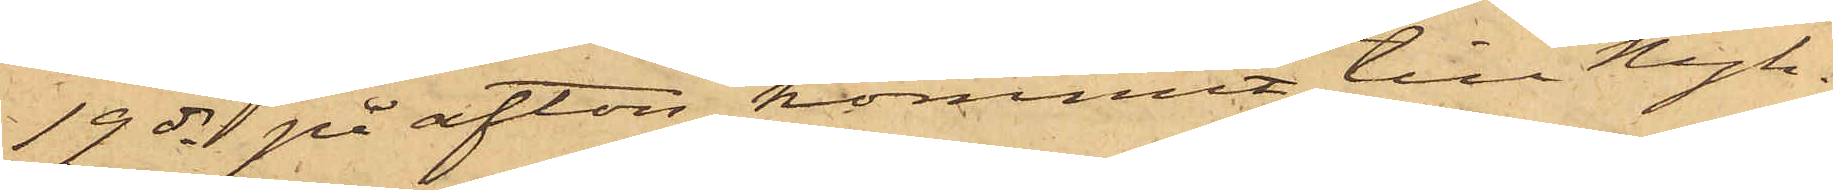19 ds på afton kommit till Nyk¬
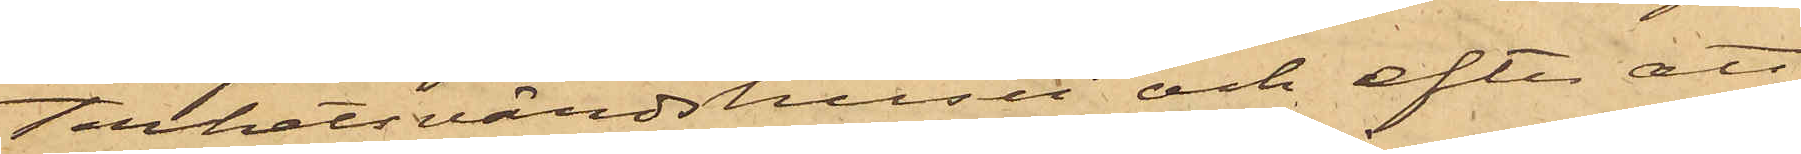terhetsvärdshuset och efter att
